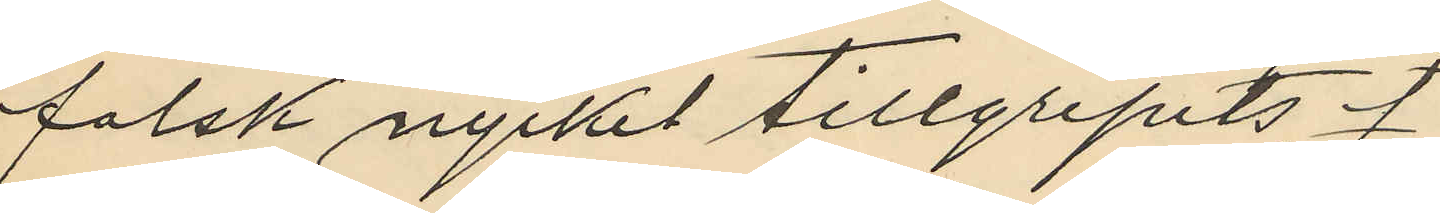falsk nyckel tillgripits f
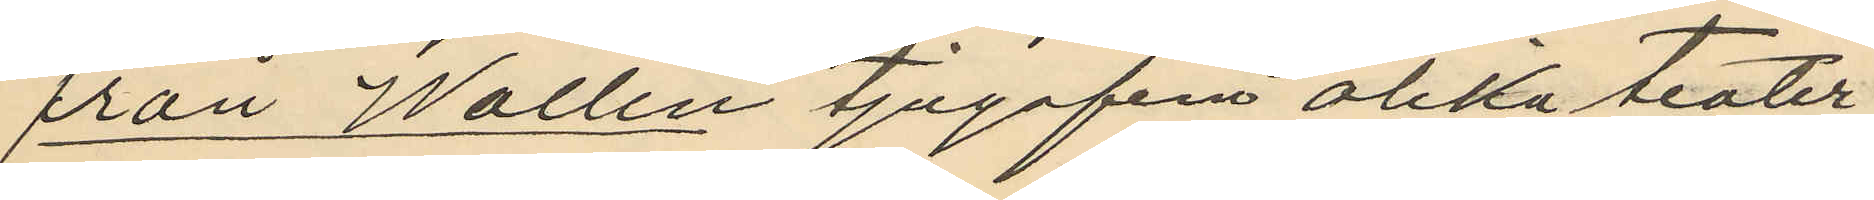från Wallin tjugfem olika teater
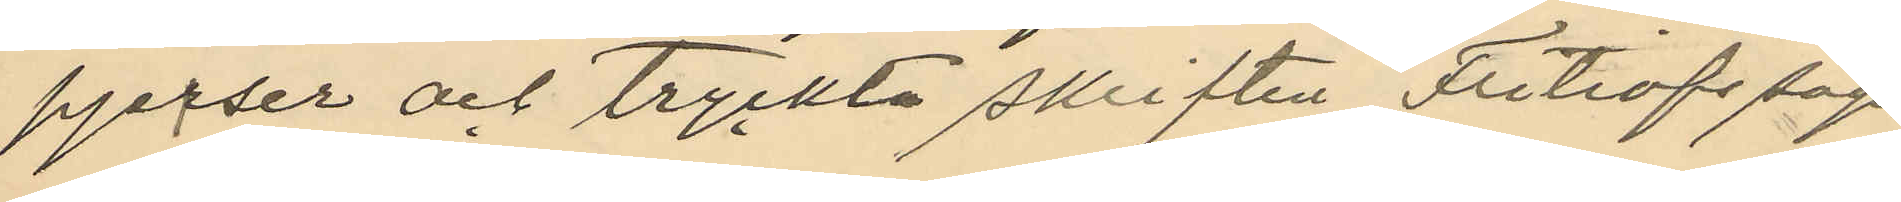pjeiser och tryckta skriften "Fritiofs saga"
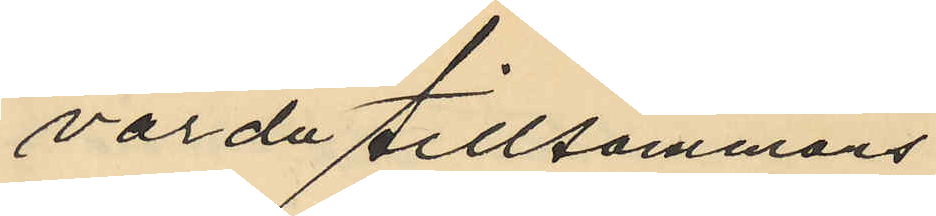värda tillsammans
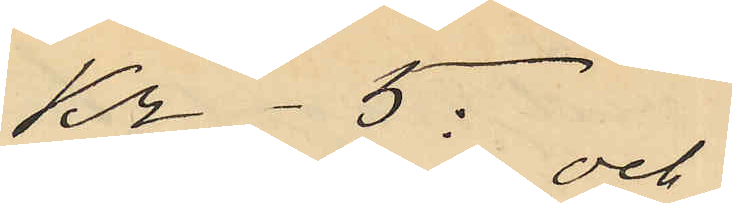Kr-5: och
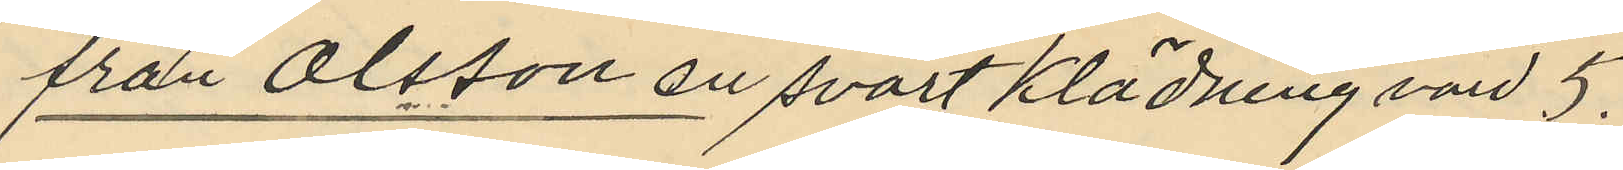från Olsson en svart klädning värd 5.
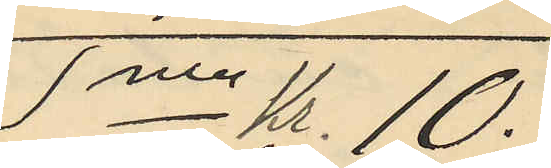Sma Kr. 10.
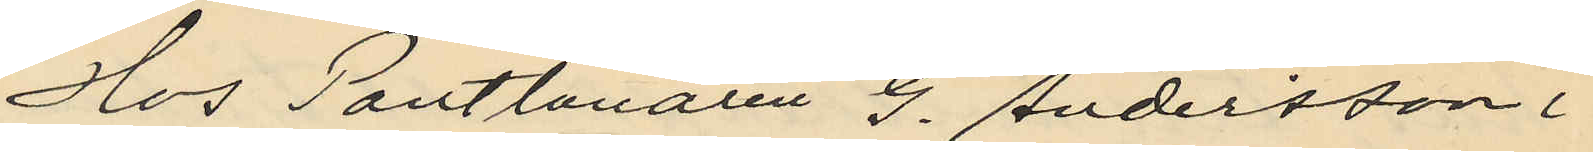Hos Pantlånaren G. Andersson i
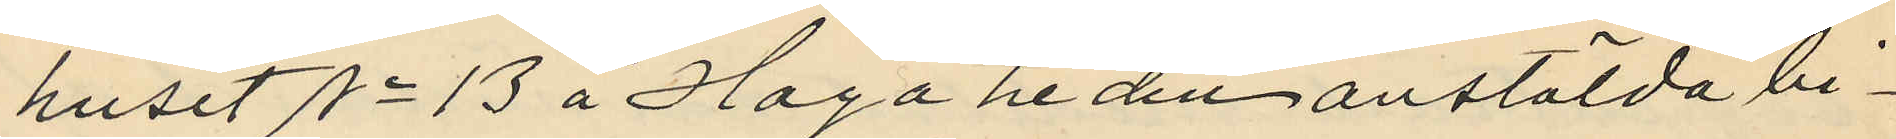huset No 13 å Hagaheden anstälda bi¬
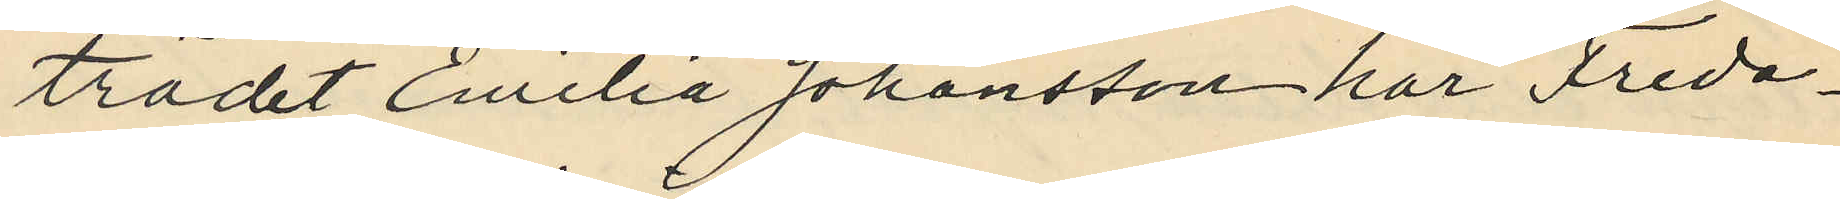trädet Emilia Johansson har Freda¬
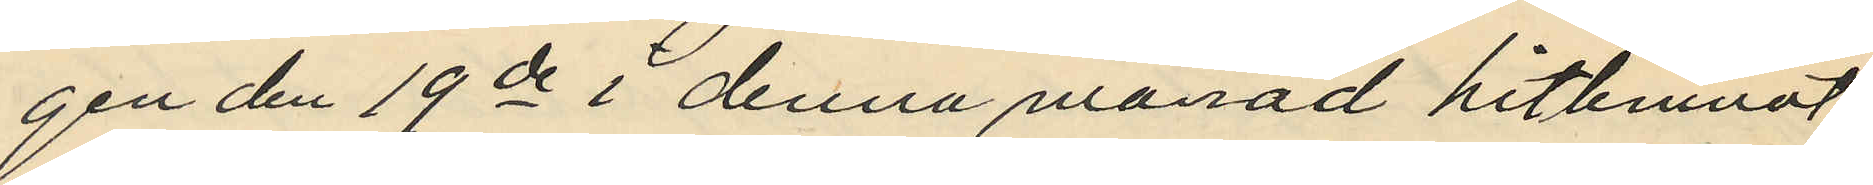gen den 19de i denna månad hitlemnat
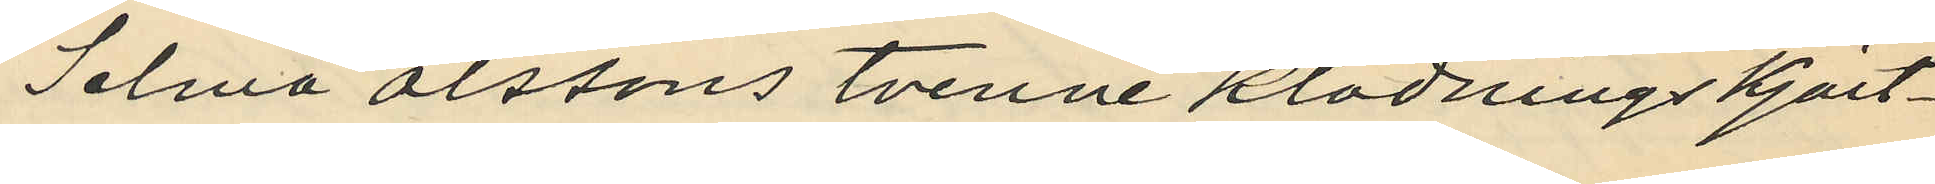Selma Olssons tvenne klädningskjort¬
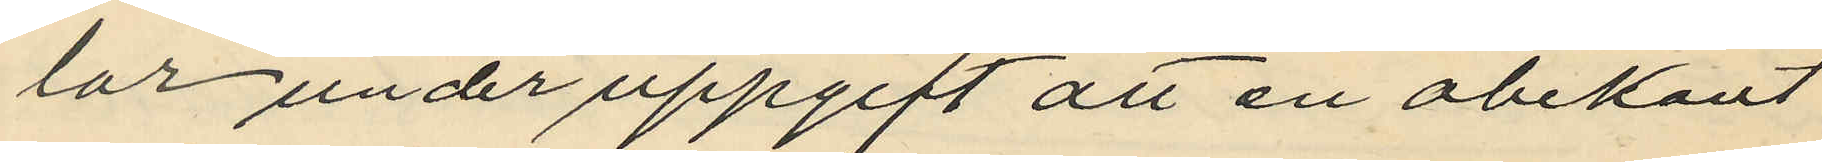lar under uppgift att en obekant
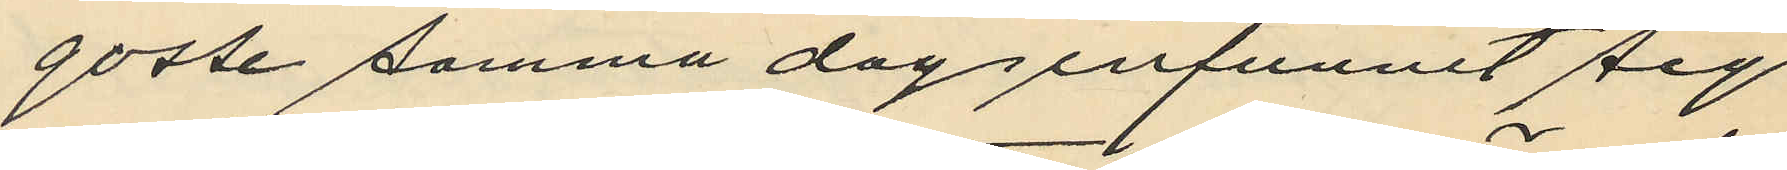gosse samma dag infunnit sig
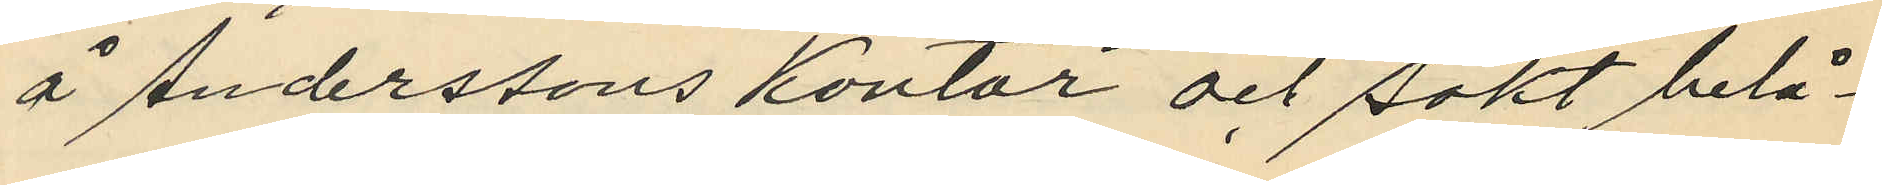å Anderssons kontor och sökt belå¬
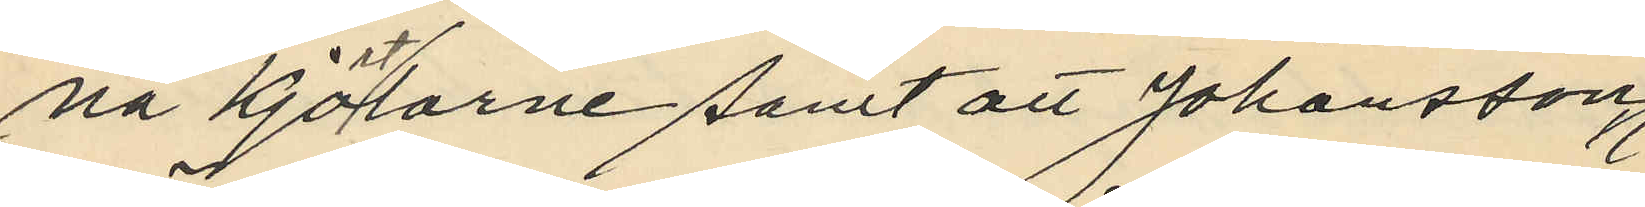na kjortlarne samt att Johansson
